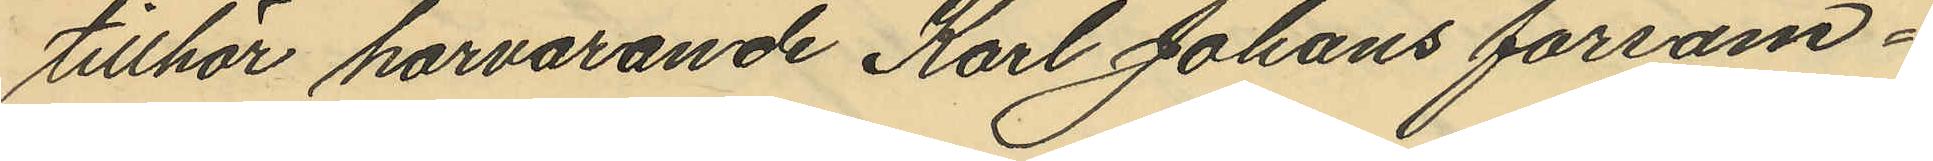tillhör härvarande Karl Johans försam¬
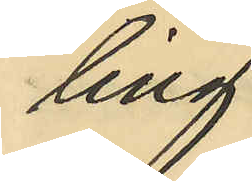ling
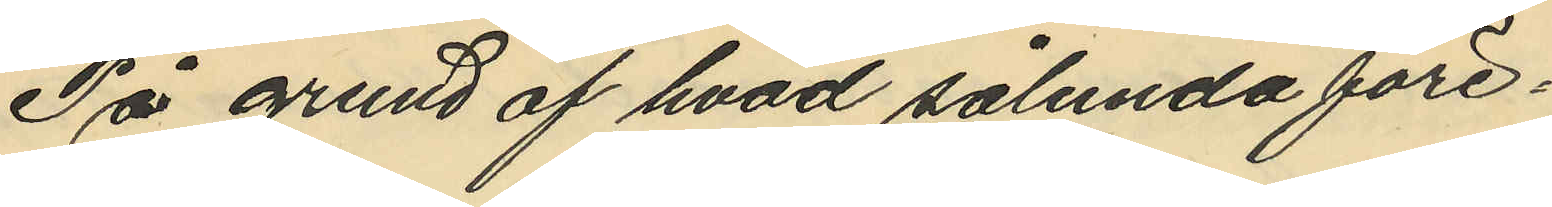På grund af hvad sålunda före¬
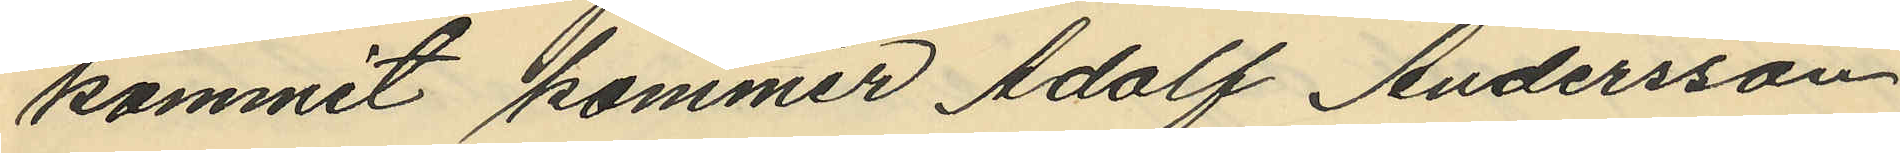kommit kommer Adolf Andersson
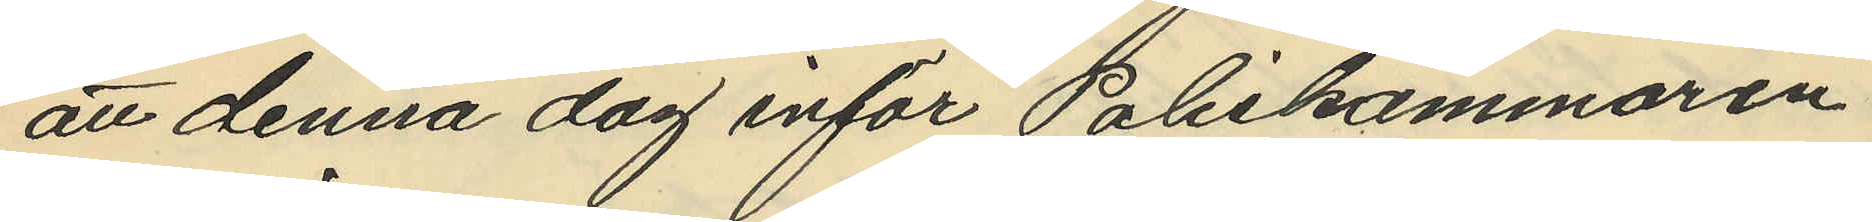att denna dag inför Poliskammaren
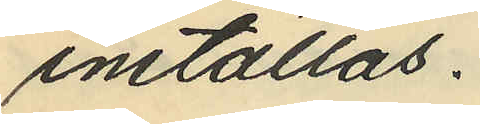inställas.
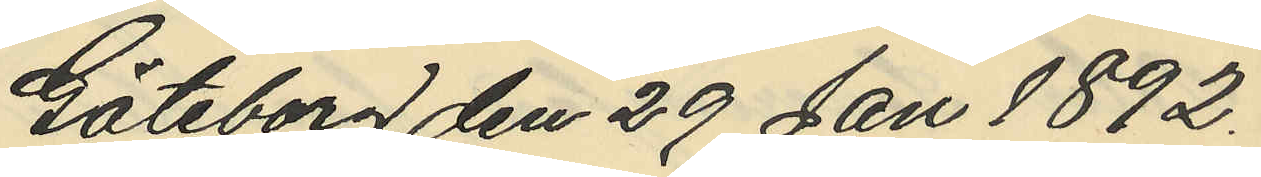Göteborg den 29 Jan 1892.
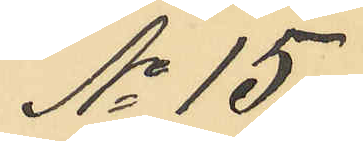No 15.
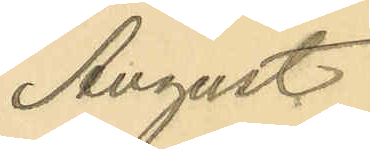August
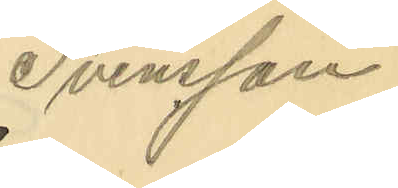Svensson.
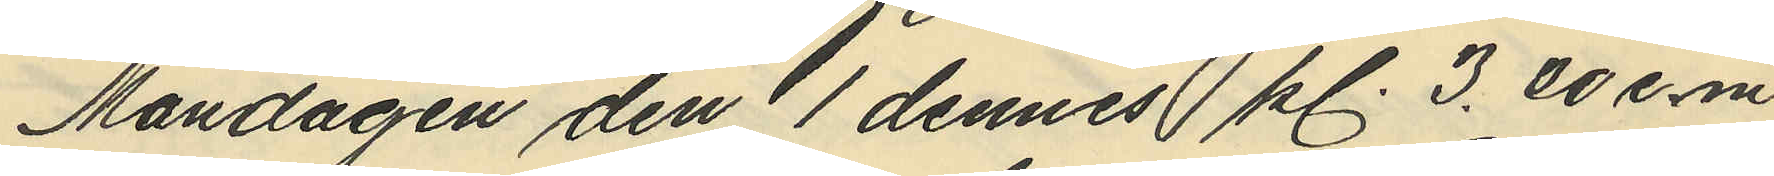Måndagen den 1 dennes kl. 3.00 e.m.
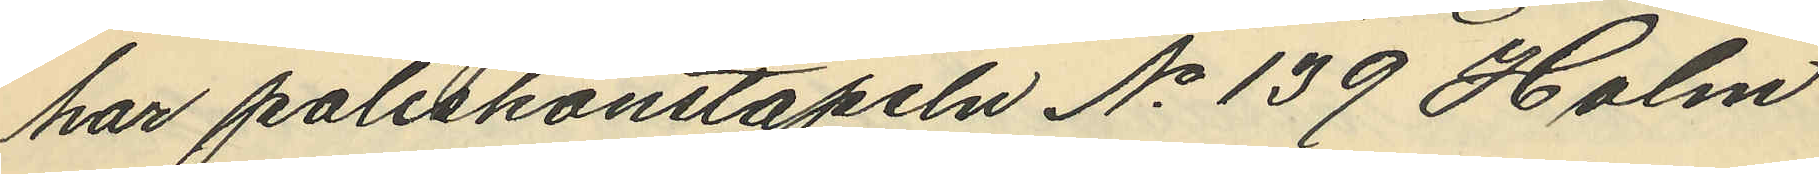har poliskonstapeln No 139 Holm
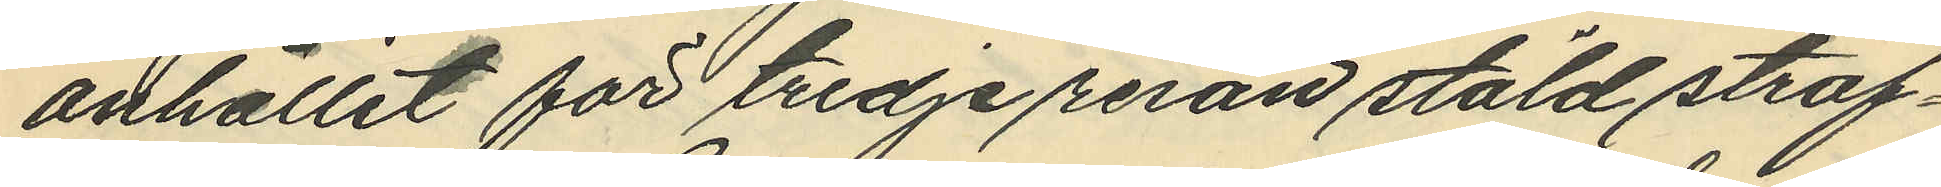anhållit för tredje resan stöld straf¬
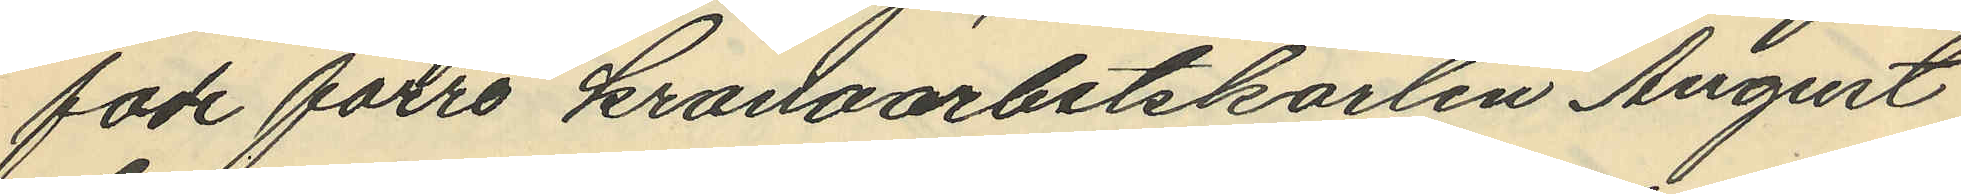fade förre kronoarbetskarlen August
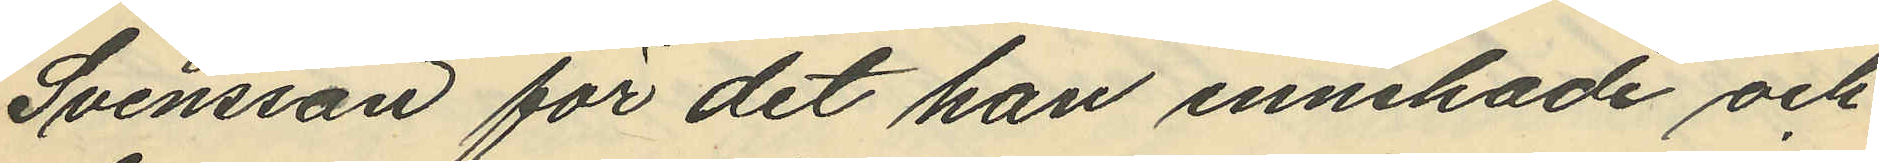Svensson för det han innehade och
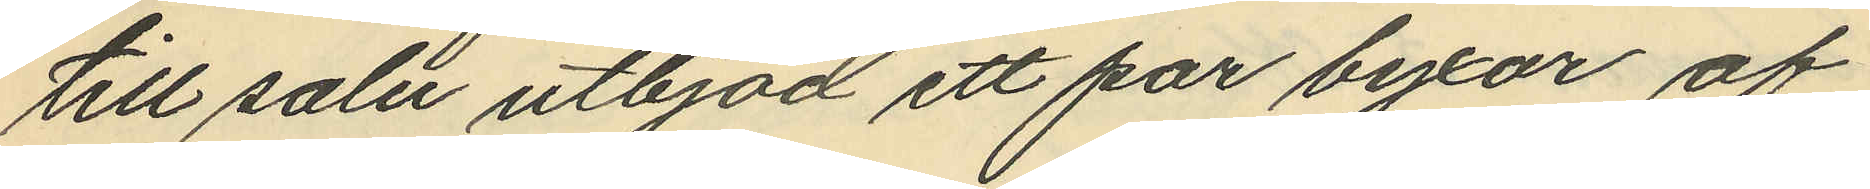till salu utbjöd ett par byxor af
